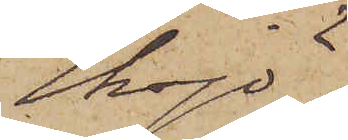Eksjö.
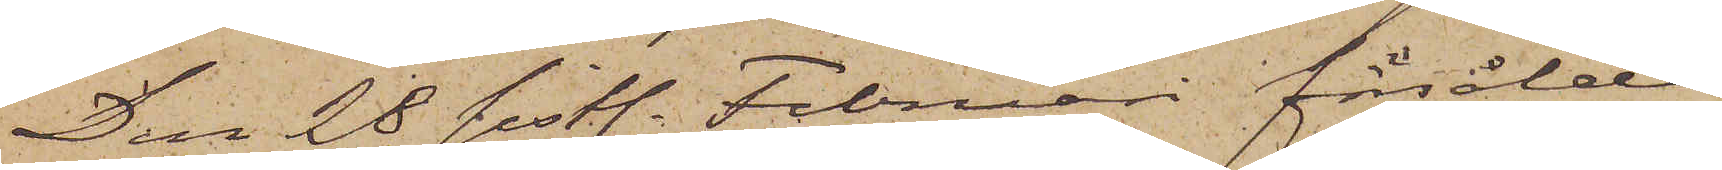Den 28 sistl. Februari försålde
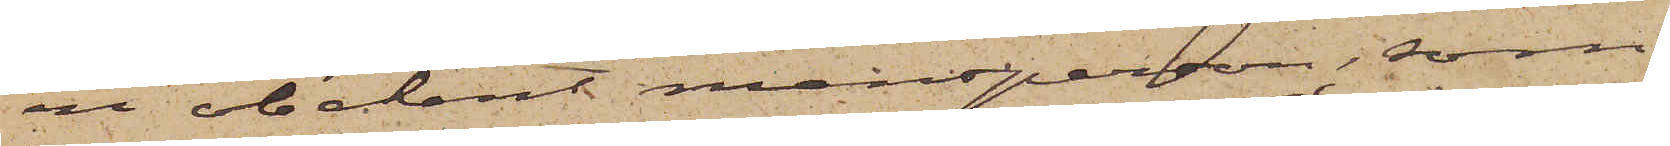en obekant mansperson, som
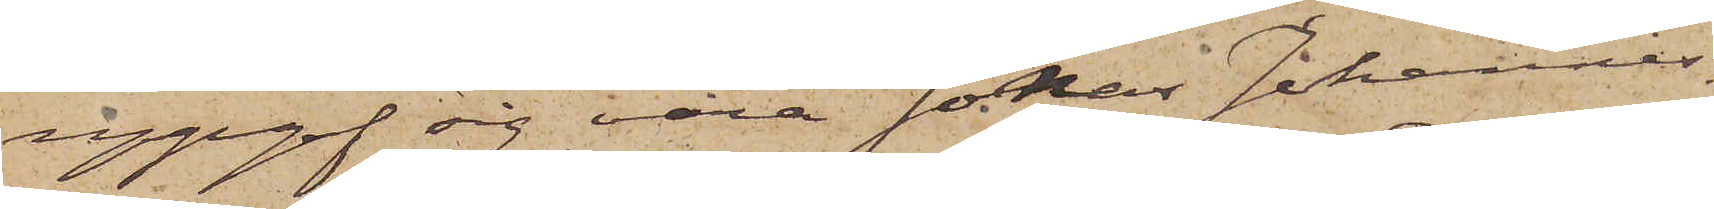uppgaf sig vara Johan Johannes¬
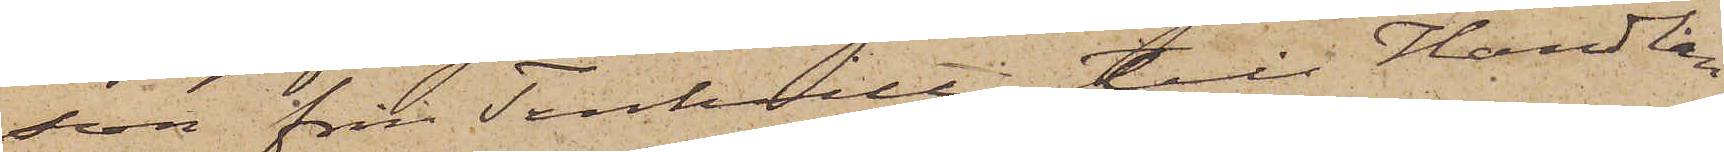son från Tenhult till Handlan¬
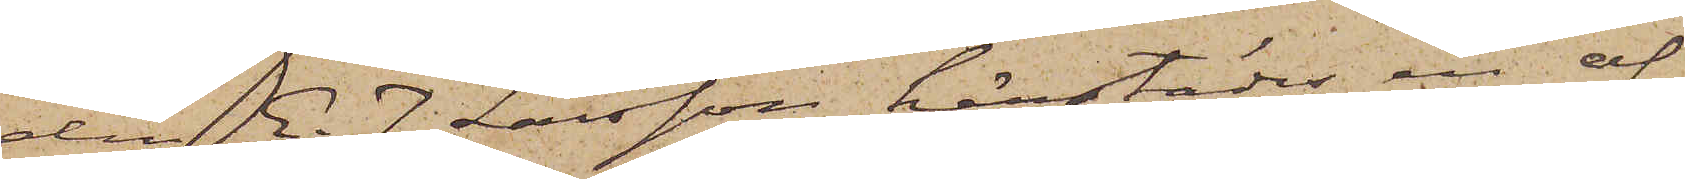den E. J. Larsson härstädes en af
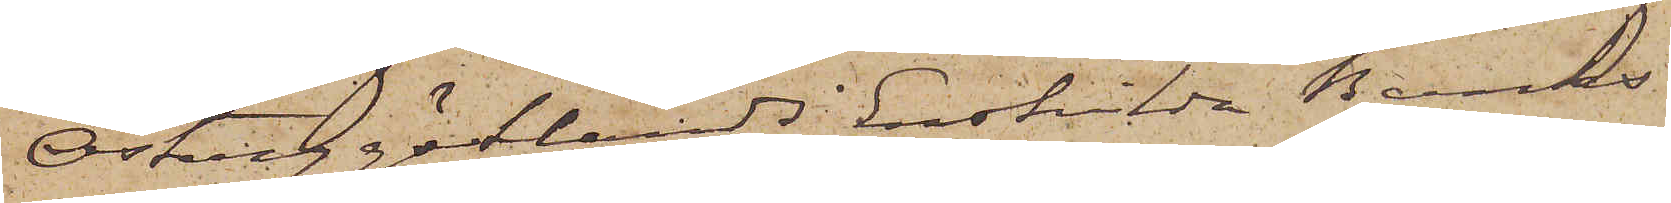Östergötlands Enskilda Banks
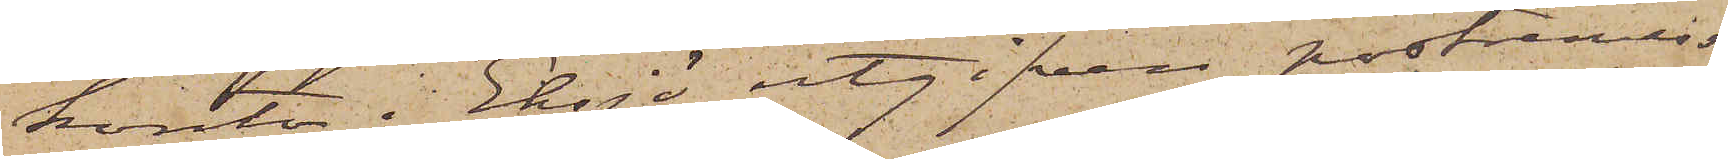kontor i Eksjö utgifven postremiss¬
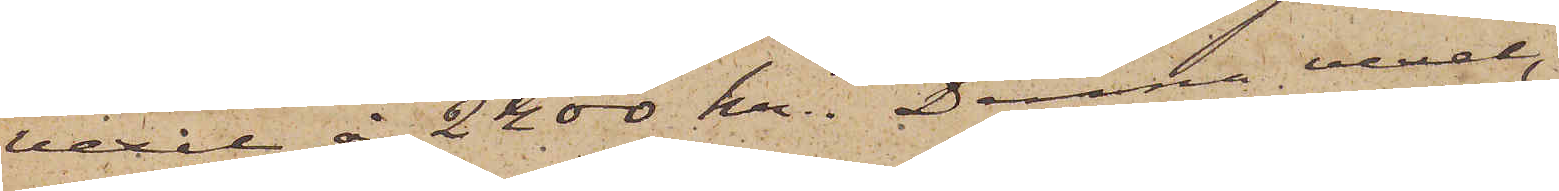vexel å 2400 kr. Denna vexel,
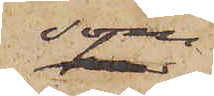som
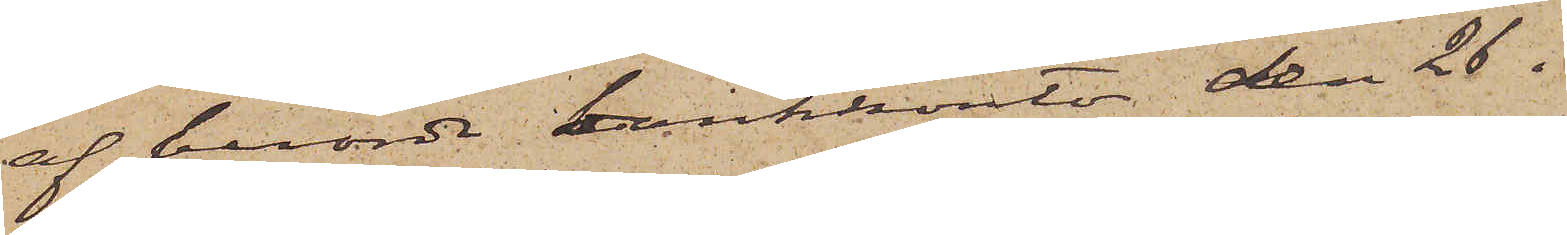af berörde bankkontor den 26 i
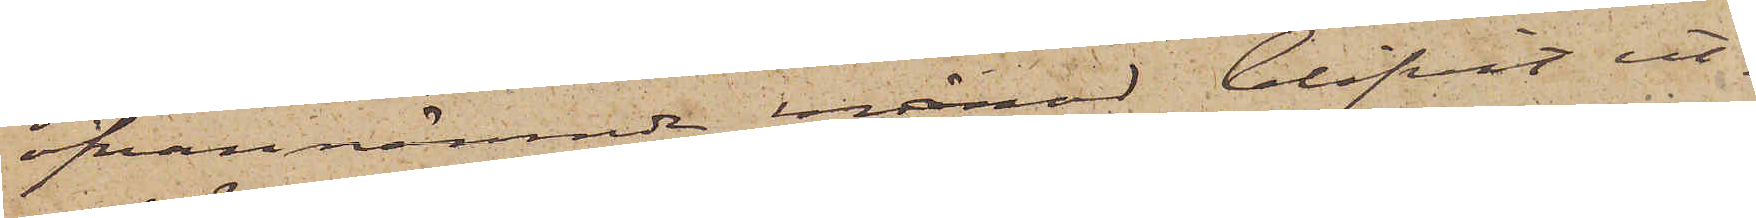ofvannämnde månad blifvit ut¬
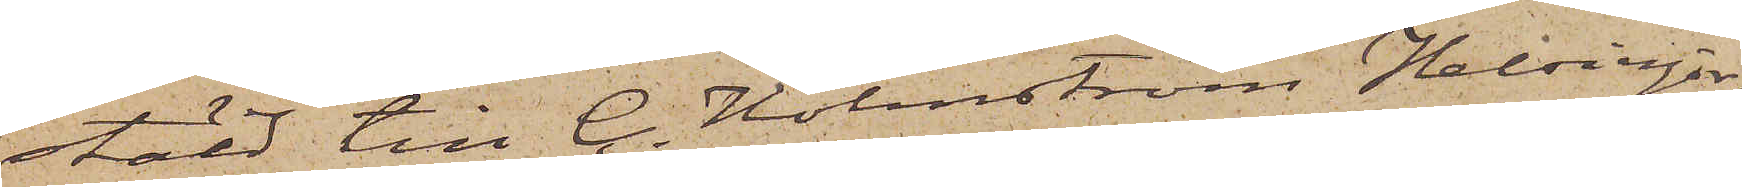stäld till C. Holmström Helsingör
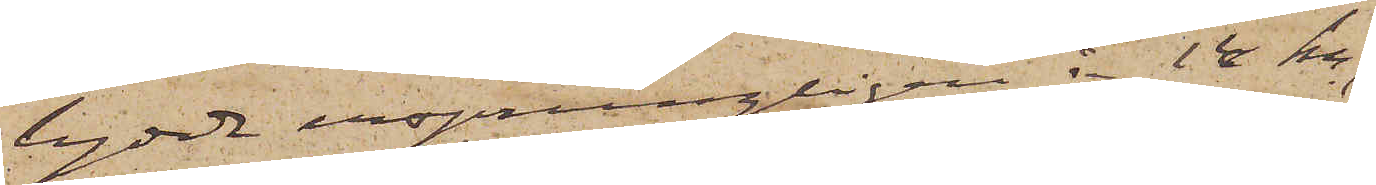lydde ursprungligen å 14 kr,
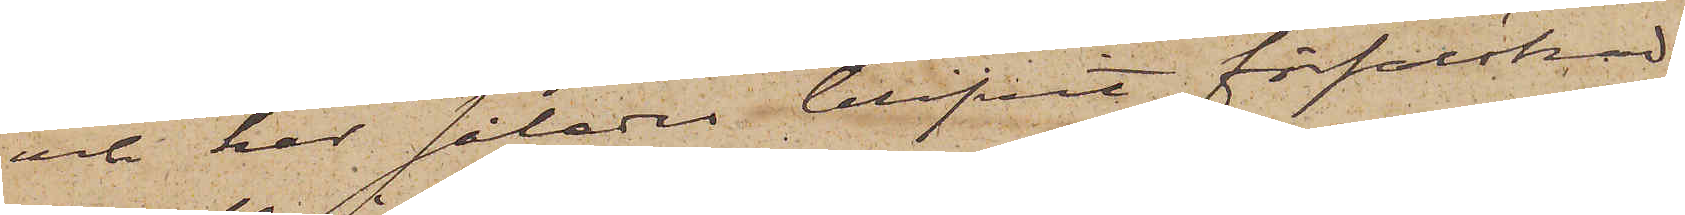och har således blifvit förfalskad.
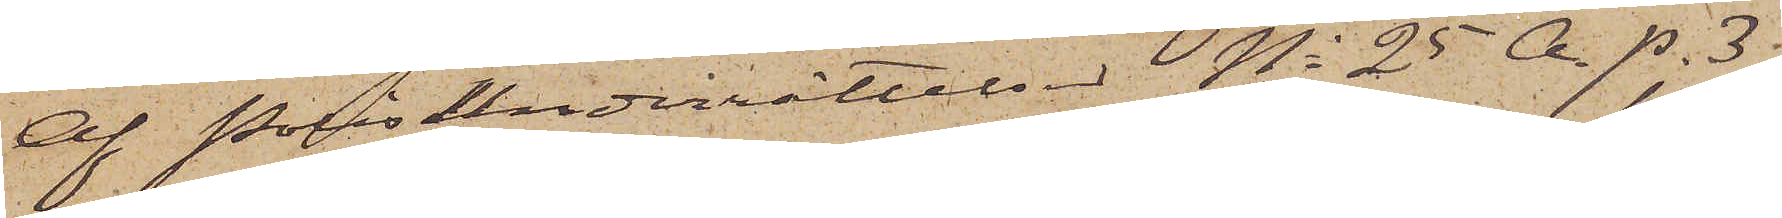Af Polisunderrättelset No 25 A. p. 3.
